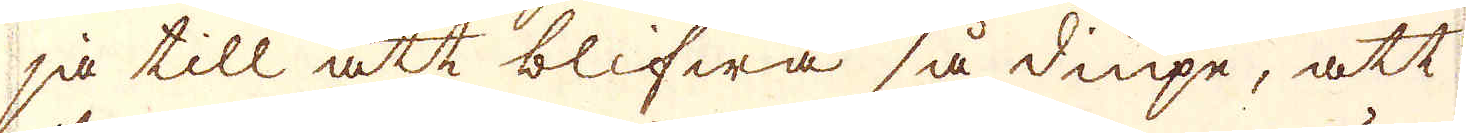ja till att blifwa så diupe, att
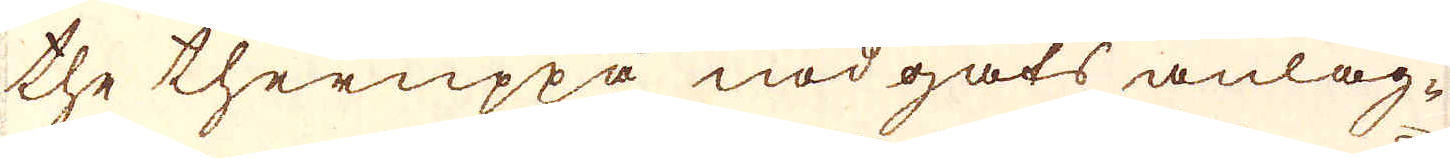the theruppå nödgats anläg-
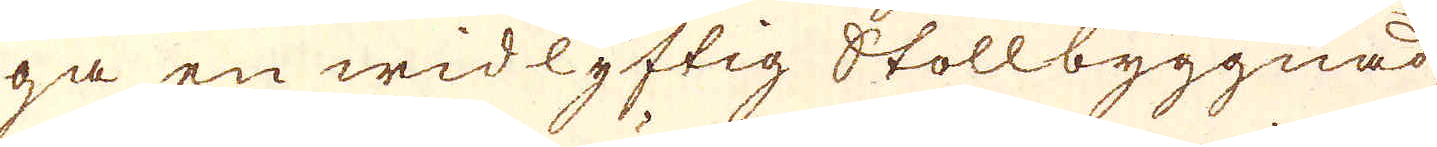ga en widlyftig Stollbyggnad
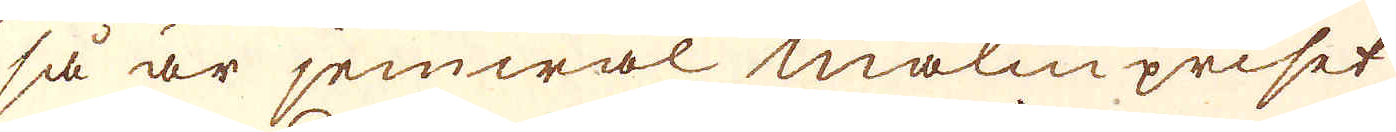så är jemwäl malmpriset
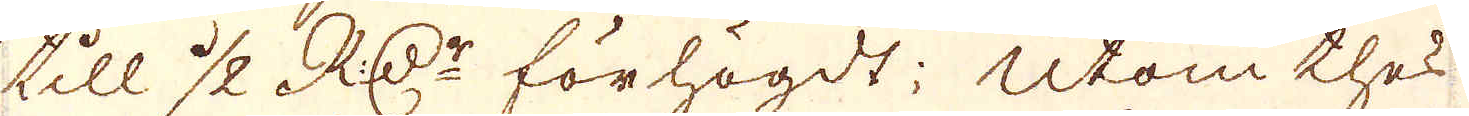till 1/2 RD:r förhögdt; Utom thes
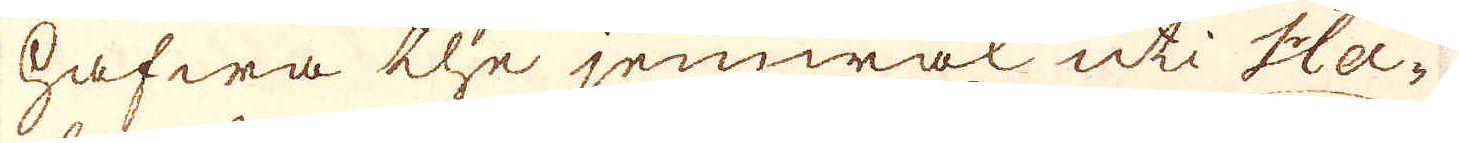hafwa the jemwäl uti Ha-
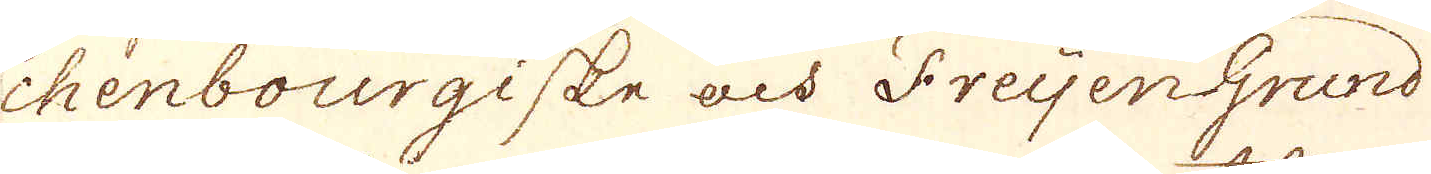chenbourgiske och FreyenGrund
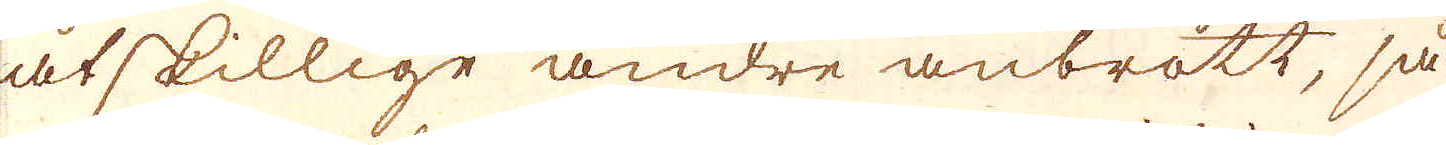åtskillige andre anbrott, så
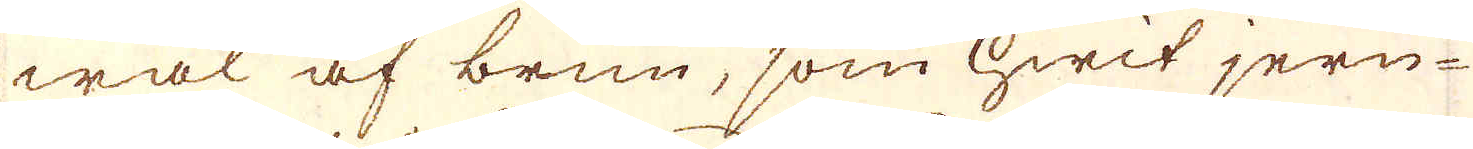wäl af brun, som hwit jern-
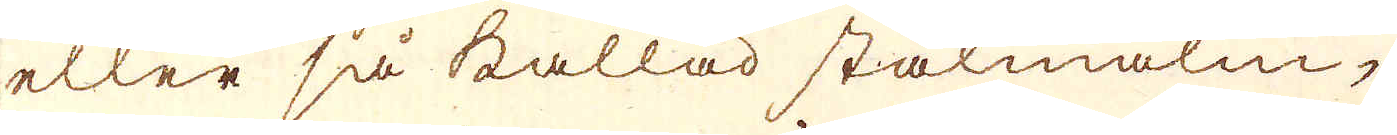eller så kallad stålmalm,
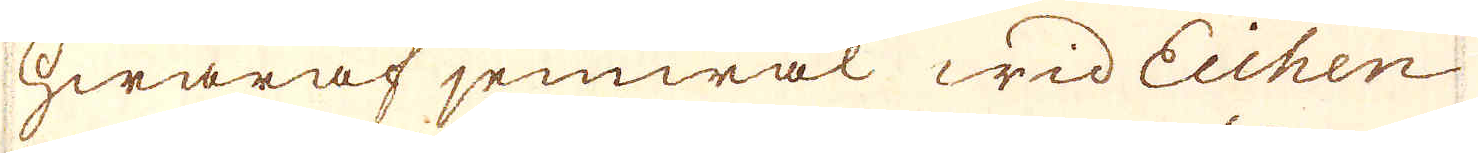hwaraf jemwäl wid Eichen
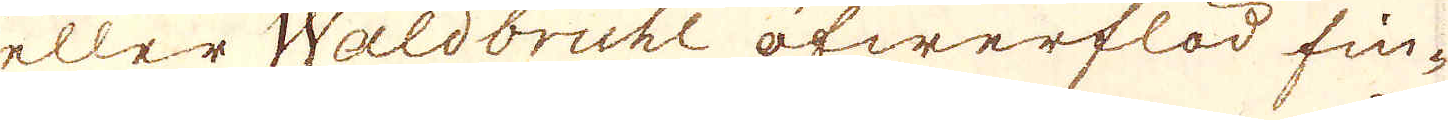eller Waldbruhl öfwerflöd fin-
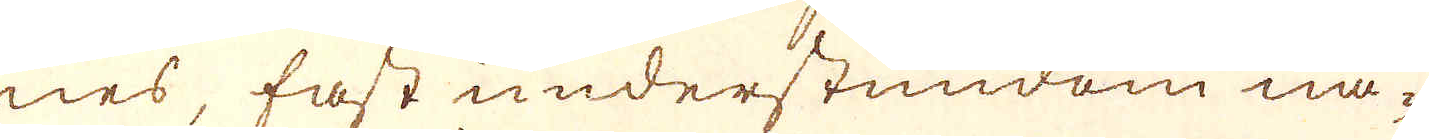nes, fast understundom nå-
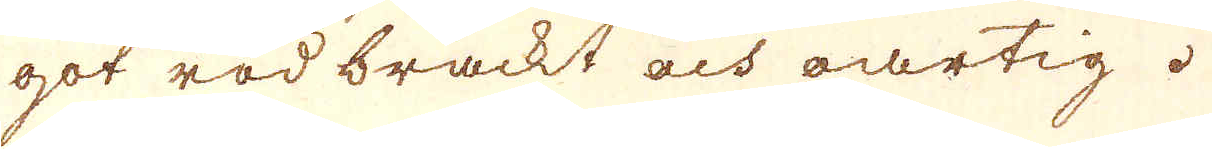got rödbräckt och oartig.
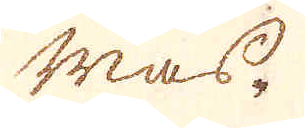mas-
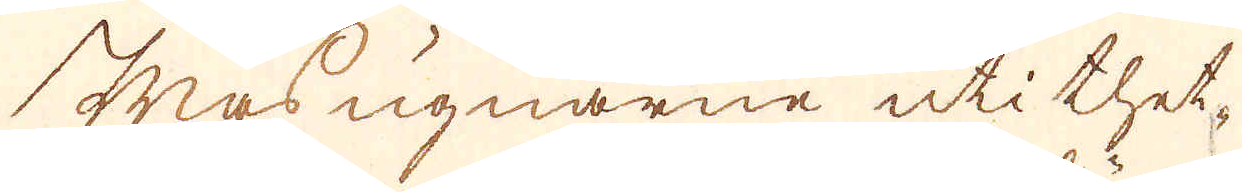Masugnarne uti thet-
